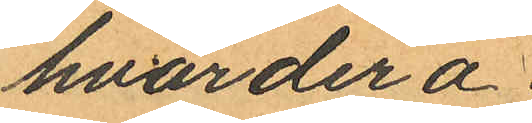hvardera;
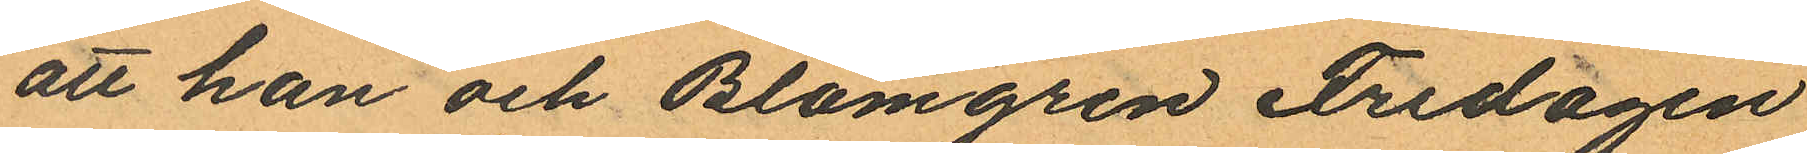att han och Blomgren Fredagen
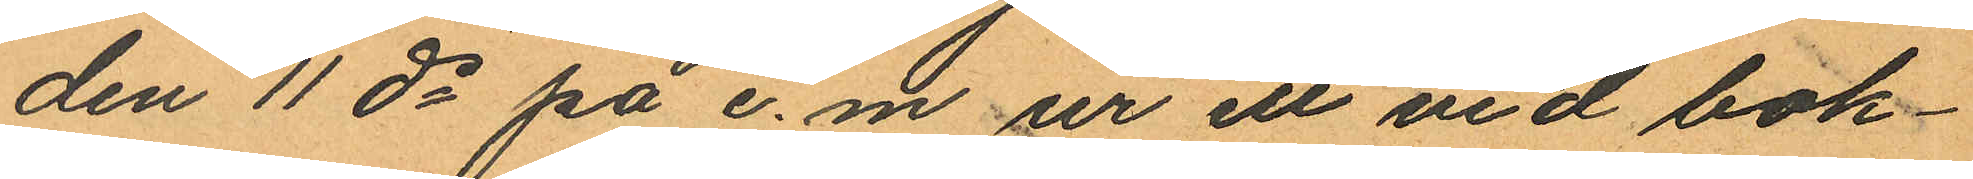den 11 ds på e.m. ur ett vid bok¬
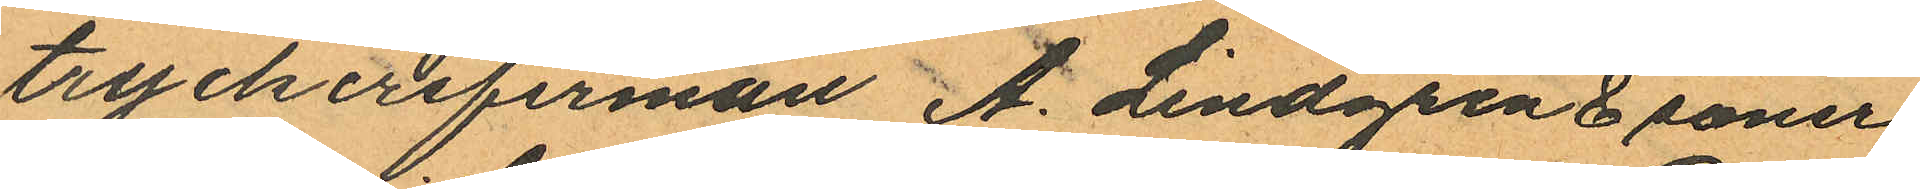tryckerifirman A. Lindgren & söner
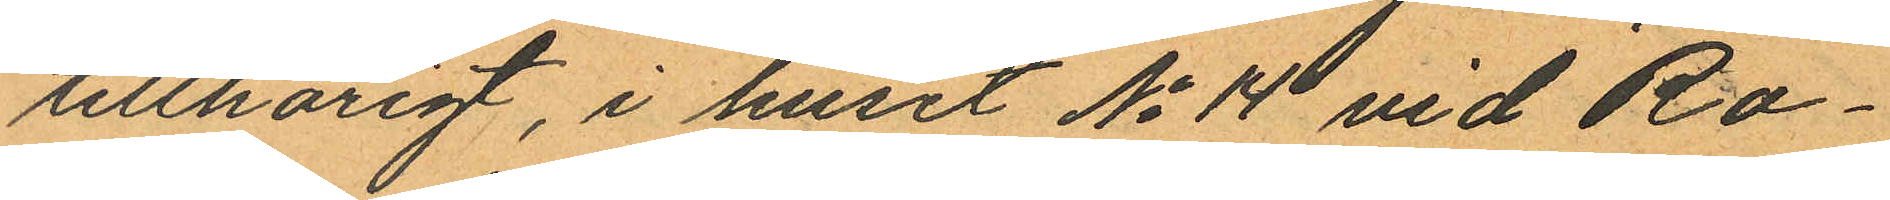tillhörigt, i huset No 14 vid Ro¬
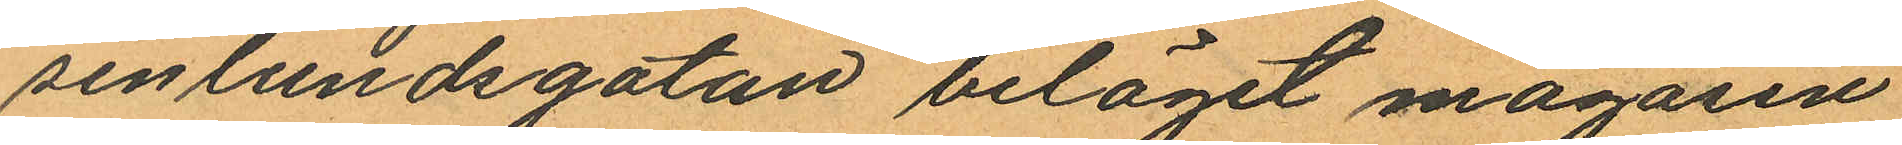senlundsgatan beläget magasin
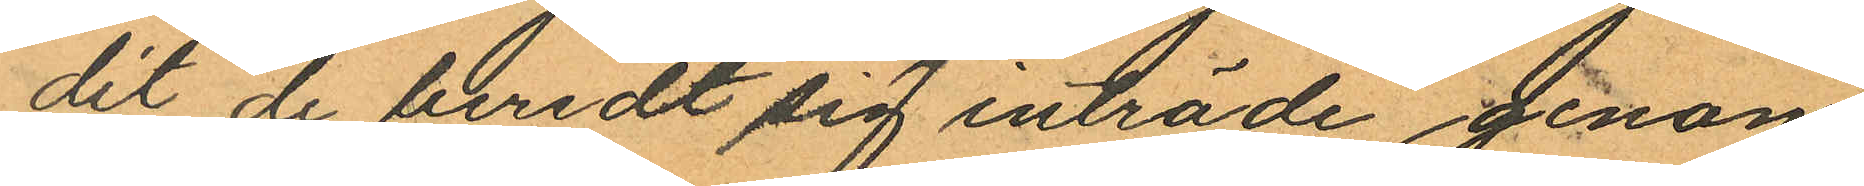dit de beredt sig inträde genom
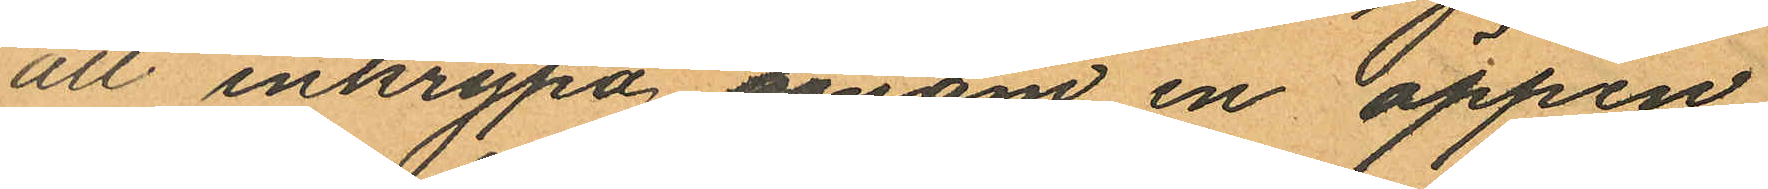att inkrypa genom en öppen
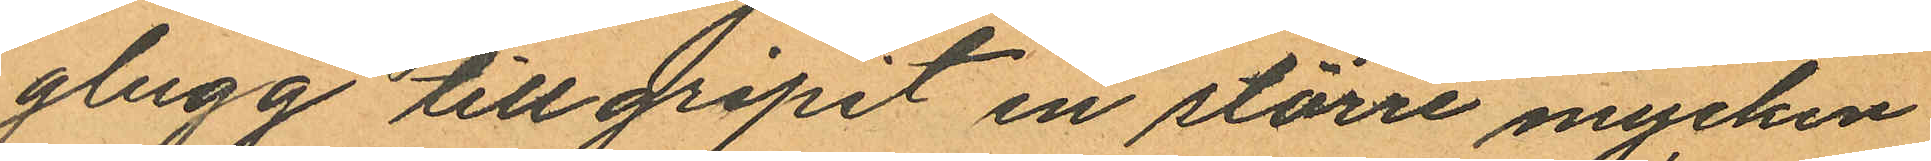glugg tillgripit en större mycken
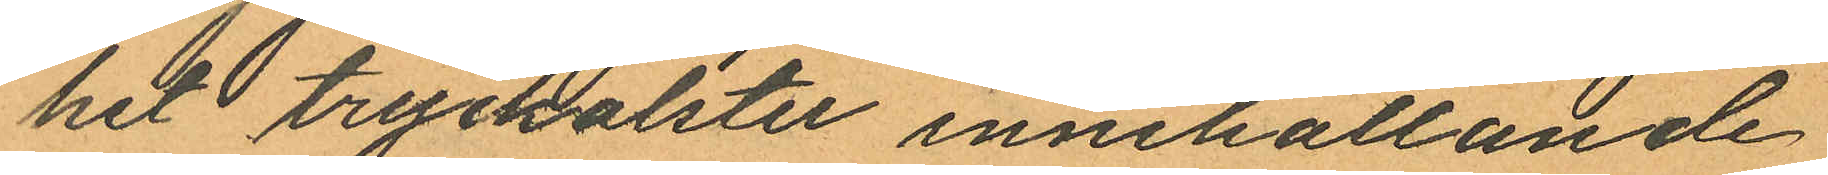het tryckalster innehållande
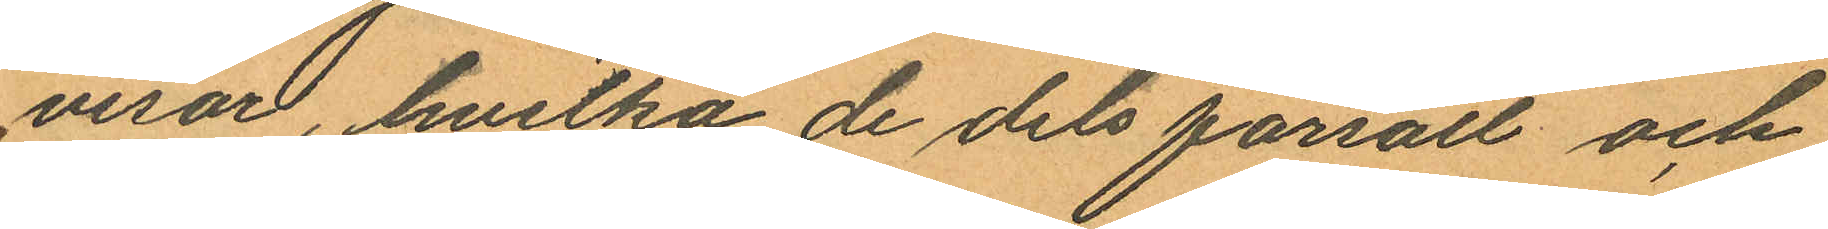visor, hvilka de dels försålt och
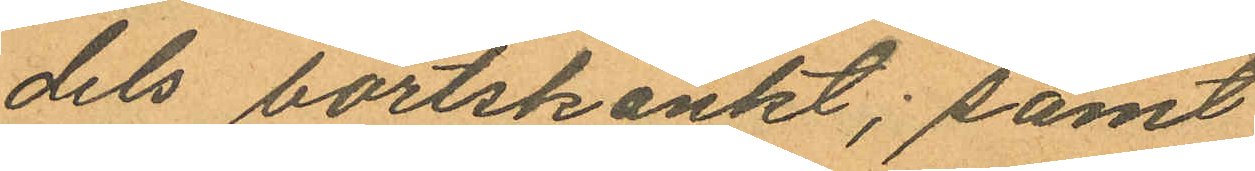dels bortskänkt; samt
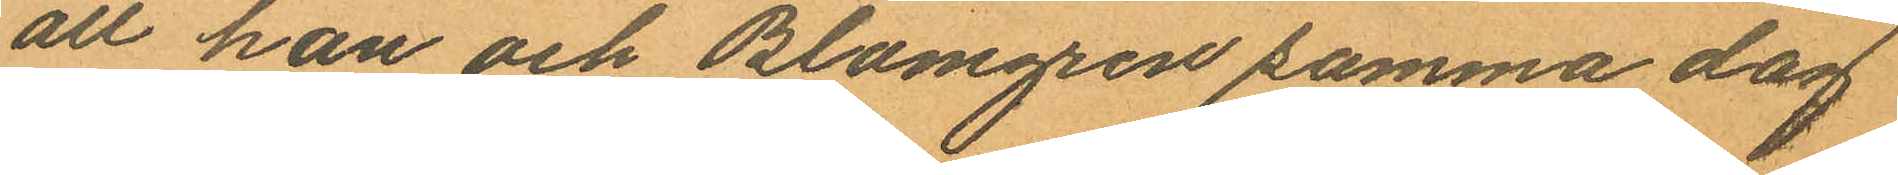att han och Blomgren samma dag
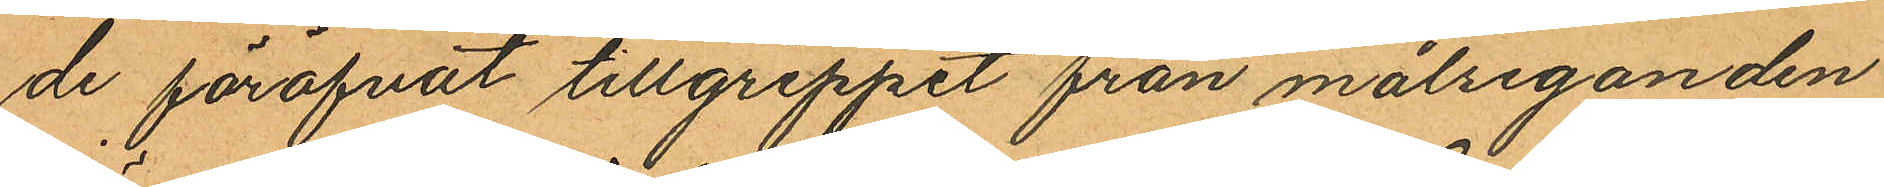de föröfvat tillgreppet från målseganden
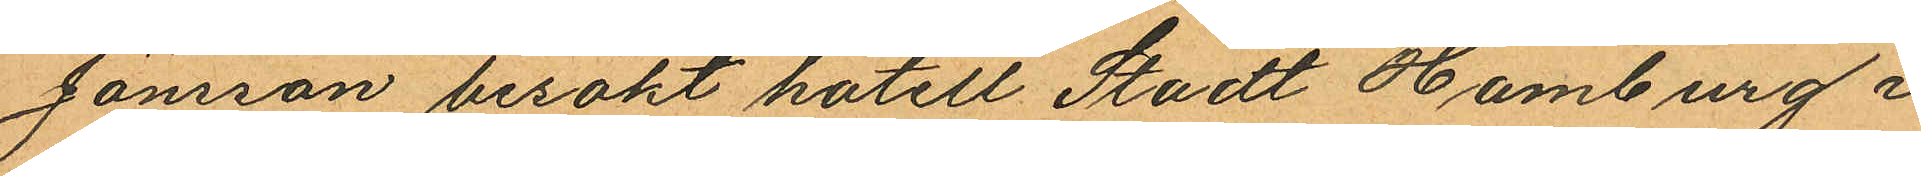Jönsson besökt hotell Stadt Hamburg i
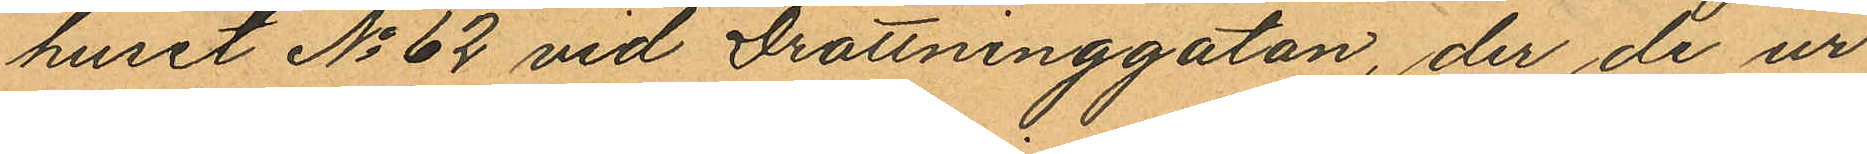huset No 62 vid Drottninggatan, der de ur
